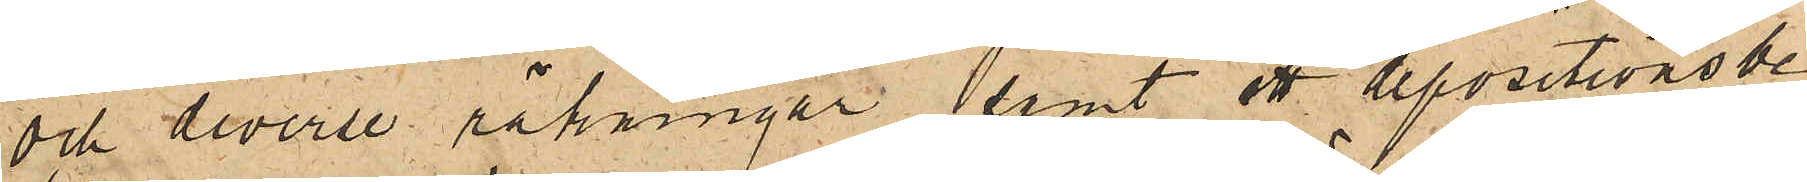och diverse räkningar, samt ett depositionsbe¬
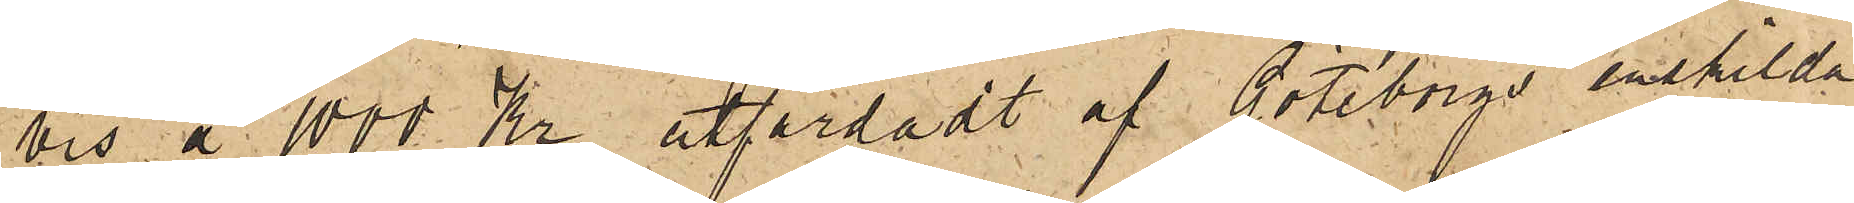vis å 1000 Kr utfärdadt af Göteborgs enskilda
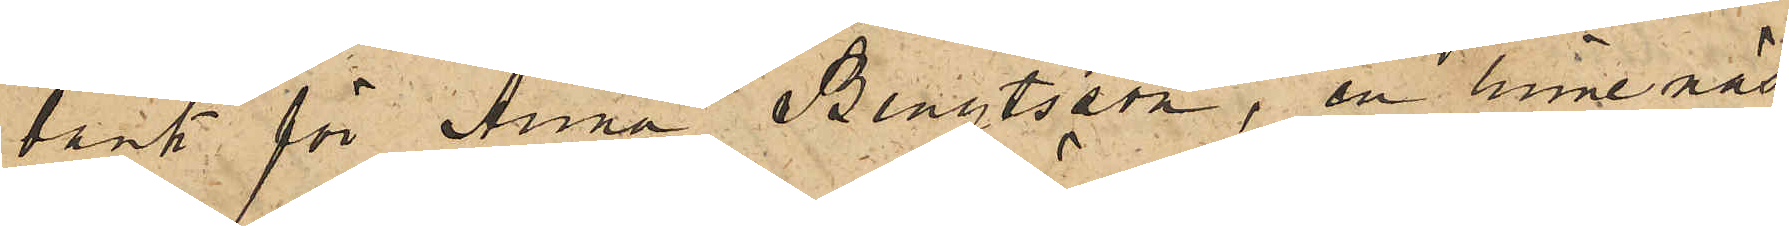bank för Anna Bengtsson, en linnenäs¬
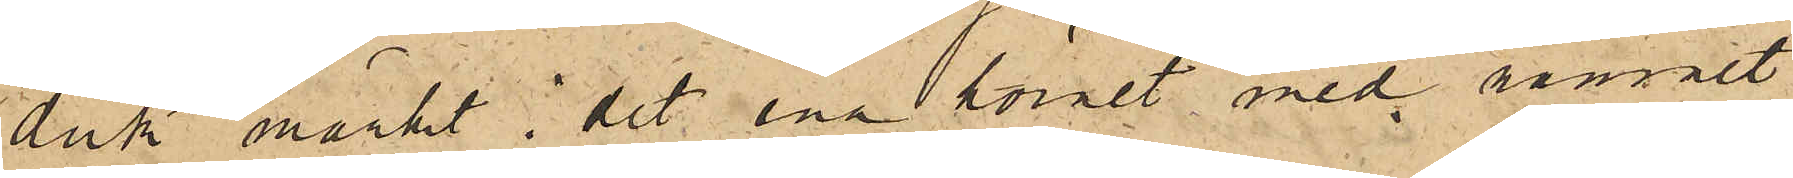duk märkt i det ena hörnet med namnet
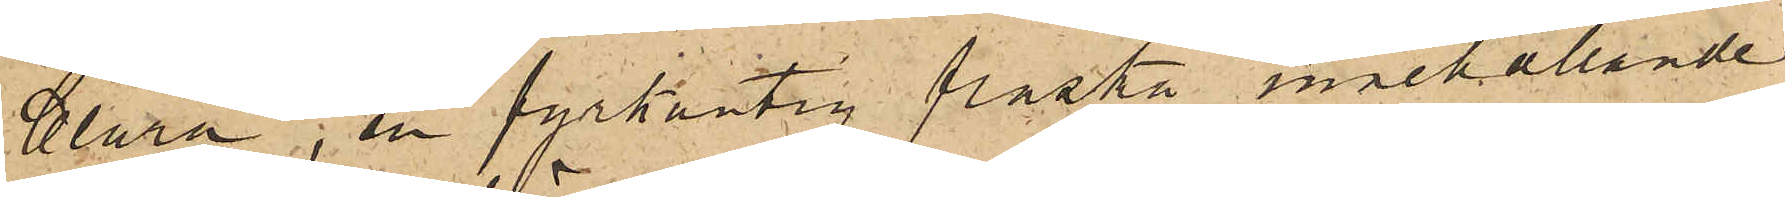Clara, en fyrkantig flaska innehållande
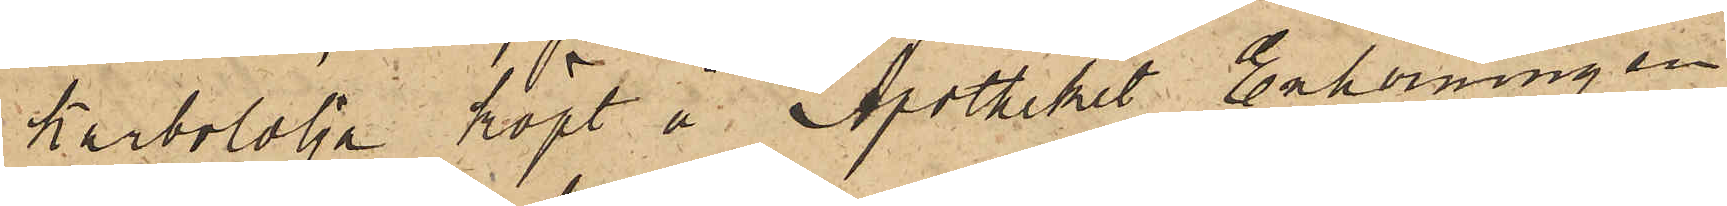karbololja köpt å Apotheket Enhörningen
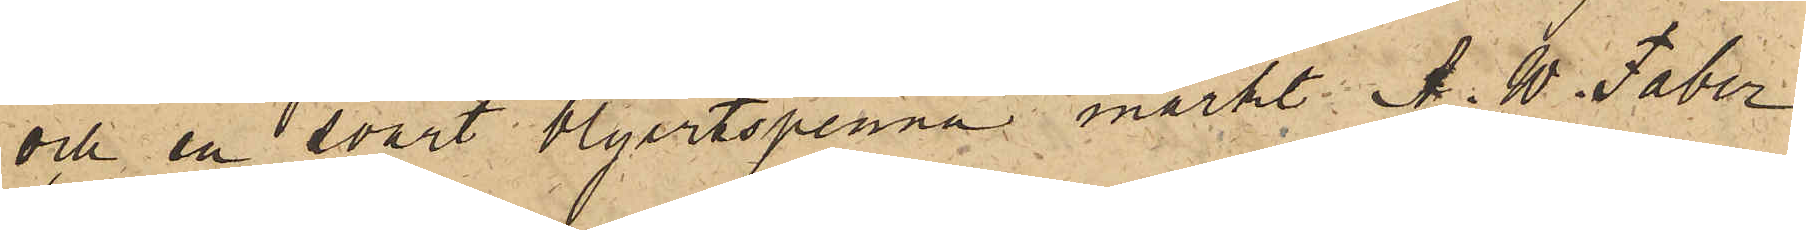och en svart blyertspenna märkt A. W. Faber
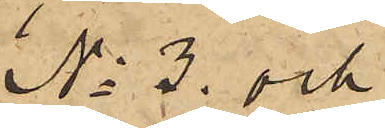No 3. och
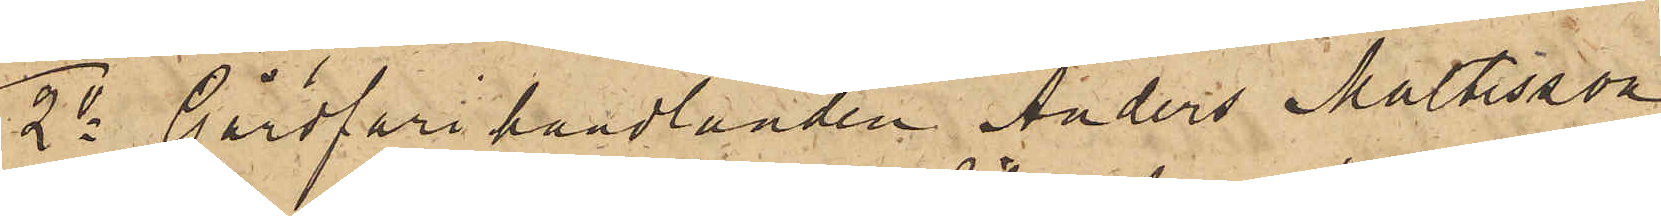2o Gårdfarihandlanden Anders Maltesson
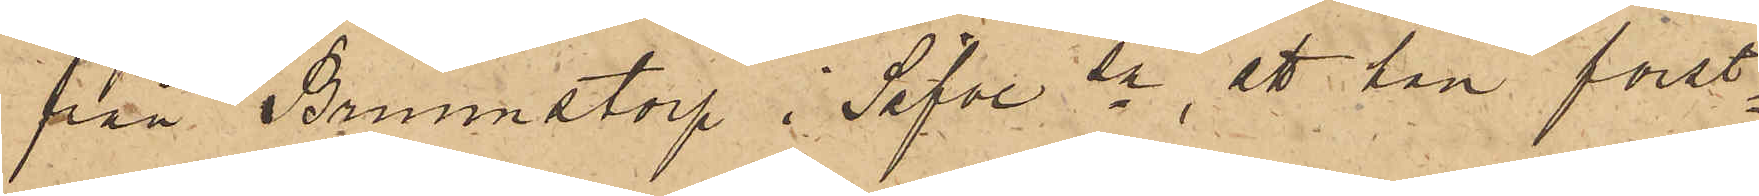från Brunnstorp i Säfve sn, att han först¬
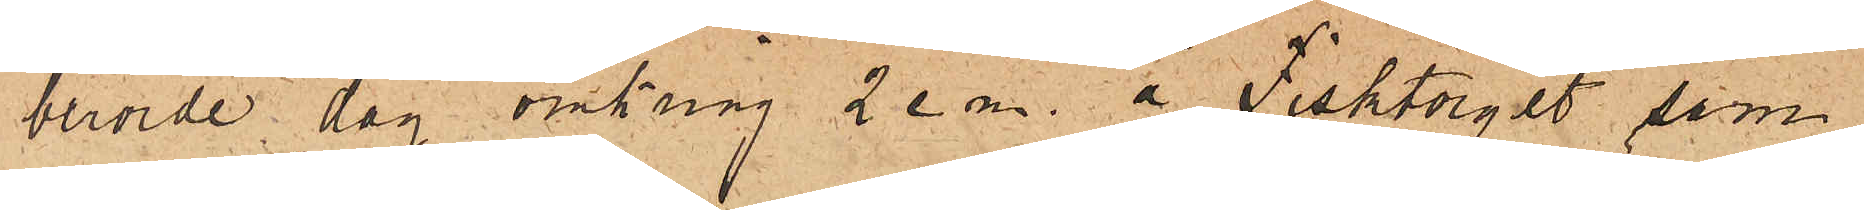berörde dag omkring 2 e. m. å Fisktorget sam¬
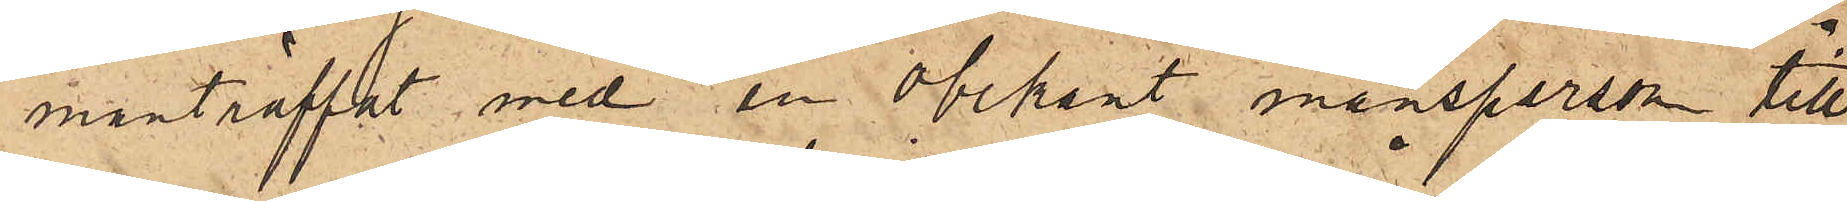manträffat med en obekant mansperson till¬
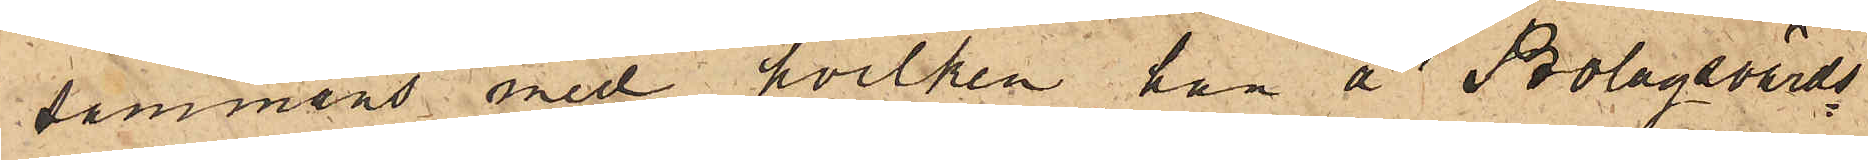sammans med hvilken han å Bolagsvärds¬
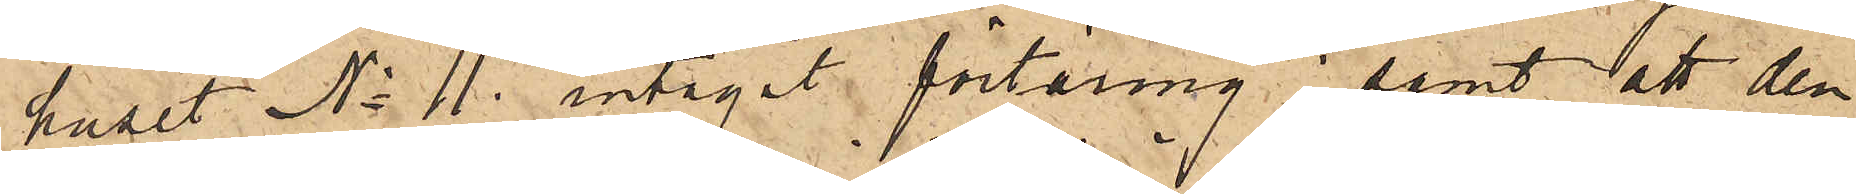huset No 11 intagit förtäring; samt att den
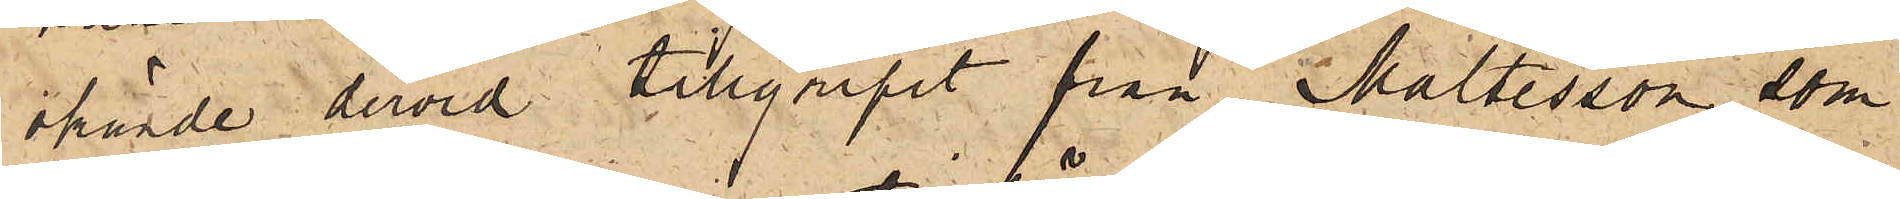okände dervid tillgripit från Maltesson, som
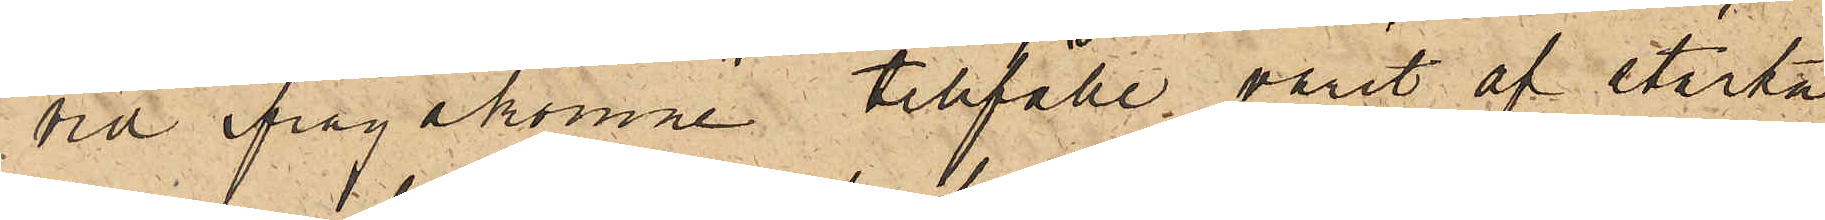vid ifrågakomne tillfälle varit af starka
